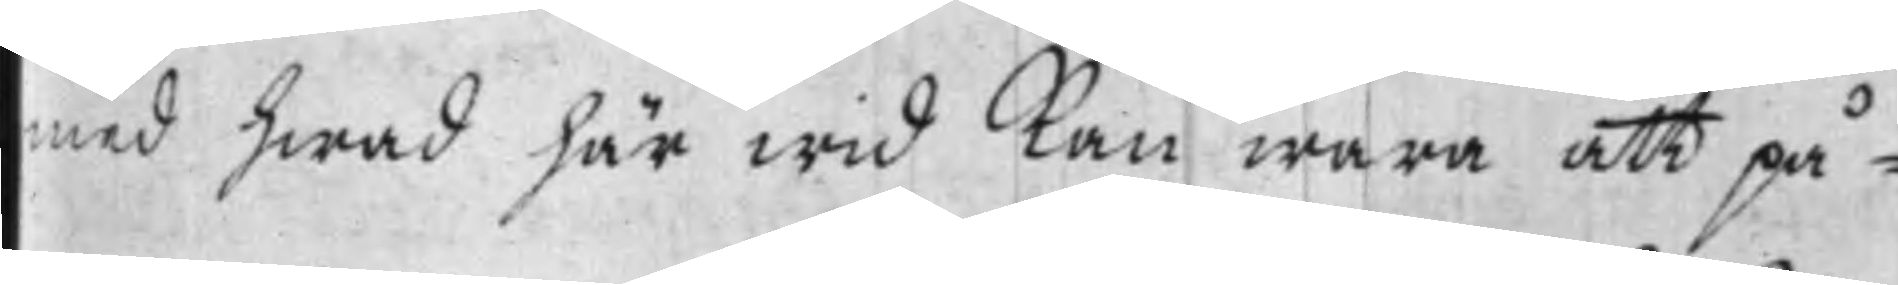med hwad här wid Kan wara att på¬
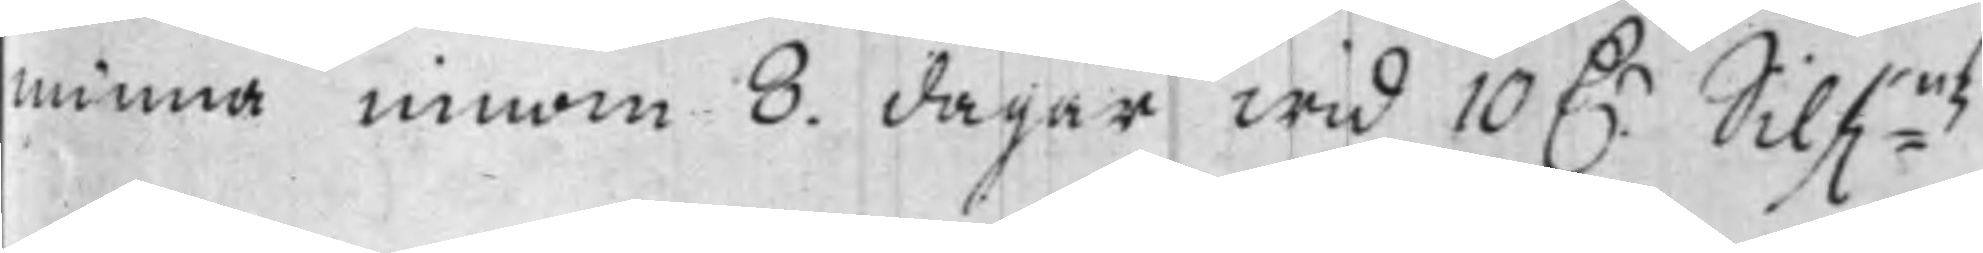minna innom 8. dagar wid 10 D.r Silf:mtz¬
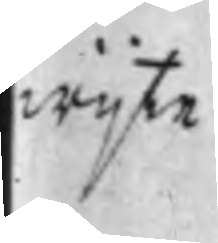wijte.
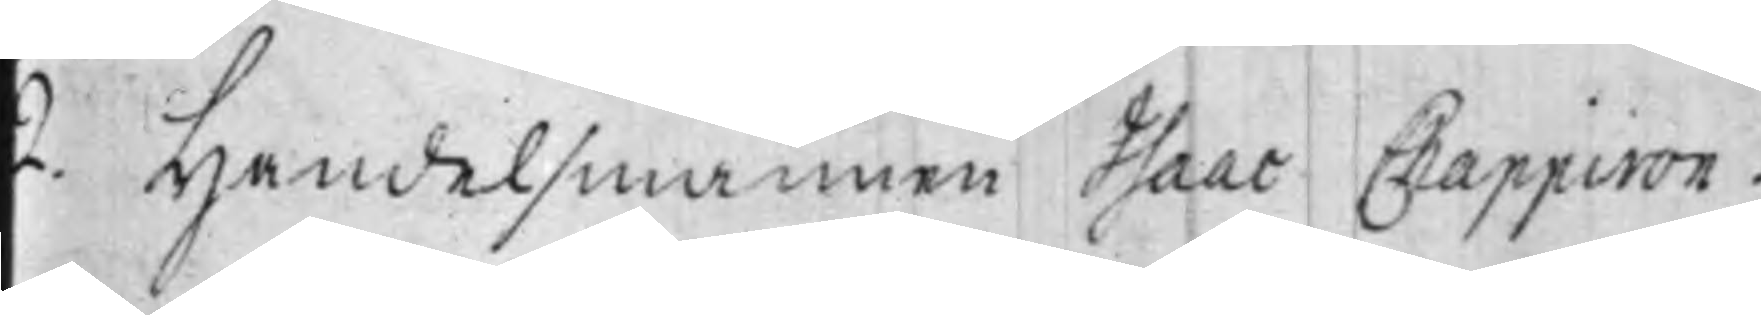2. Handelsmannen Isaac Chapperon;
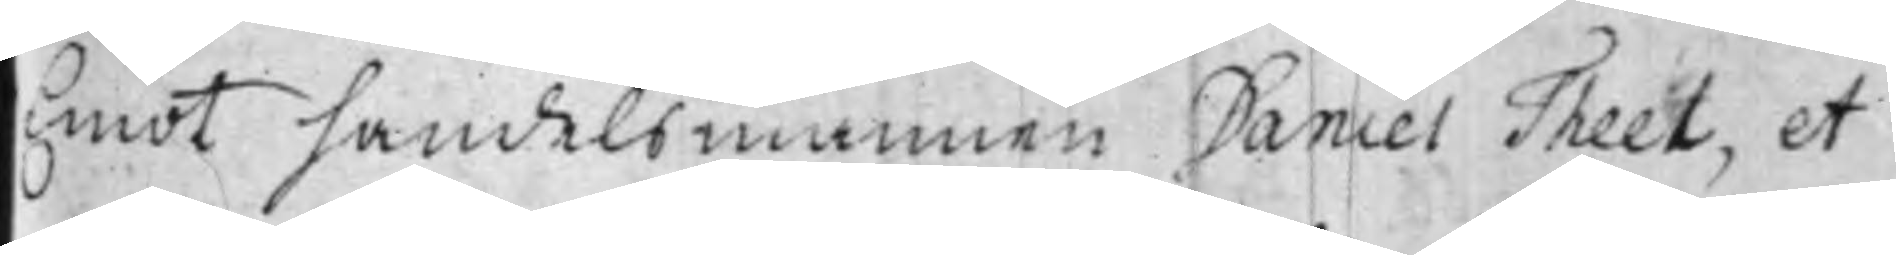Emot handelsmannen Daniel Theel, et
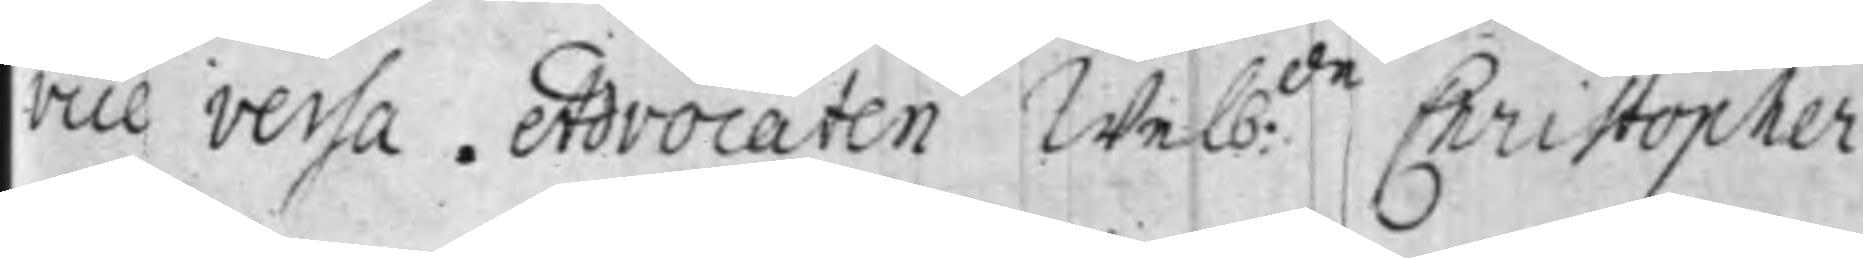vice versa. Advocaten Welb:de Christopher
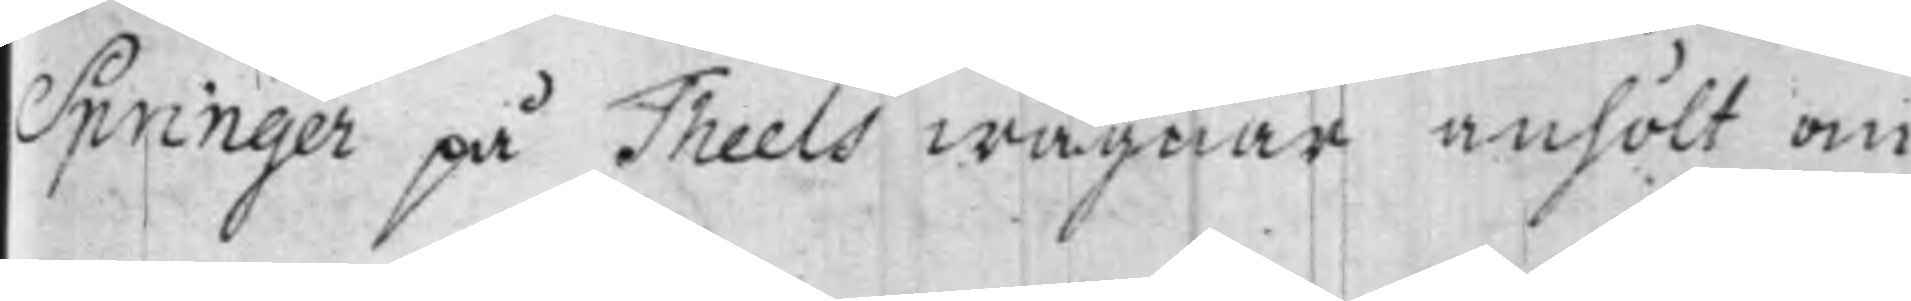Springer på Theels wägnar anhöt om
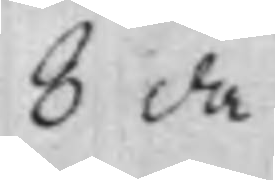8 da¬
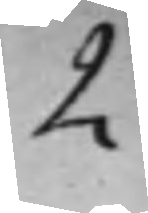2.
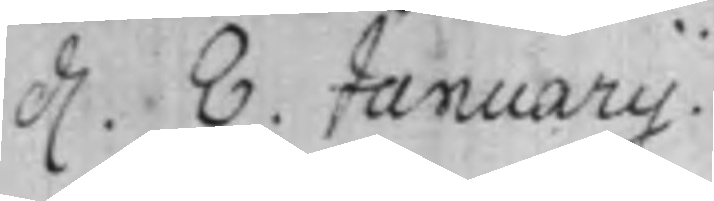d. 8. Januarij.
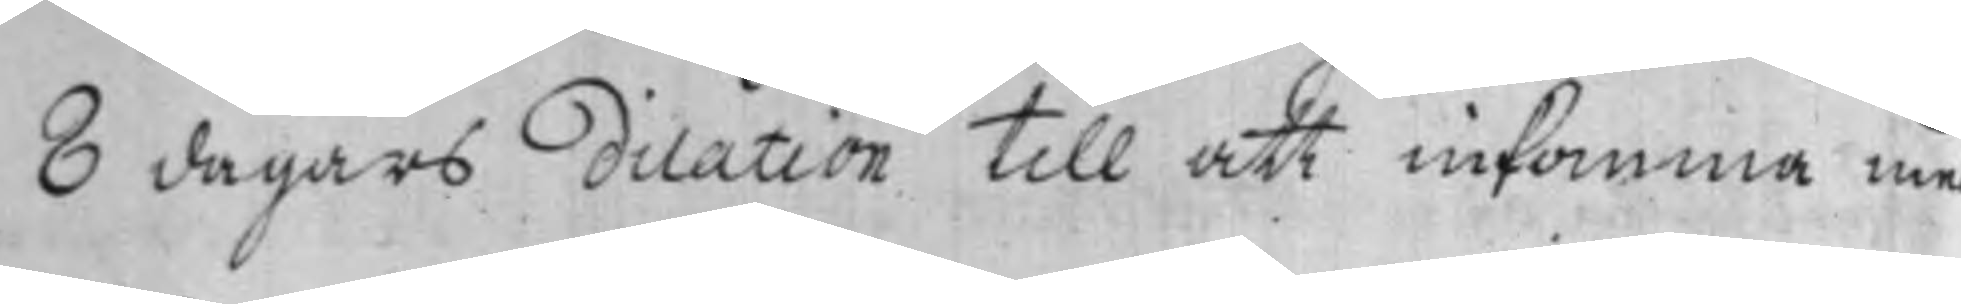8 dagars dilation till att inkomma med
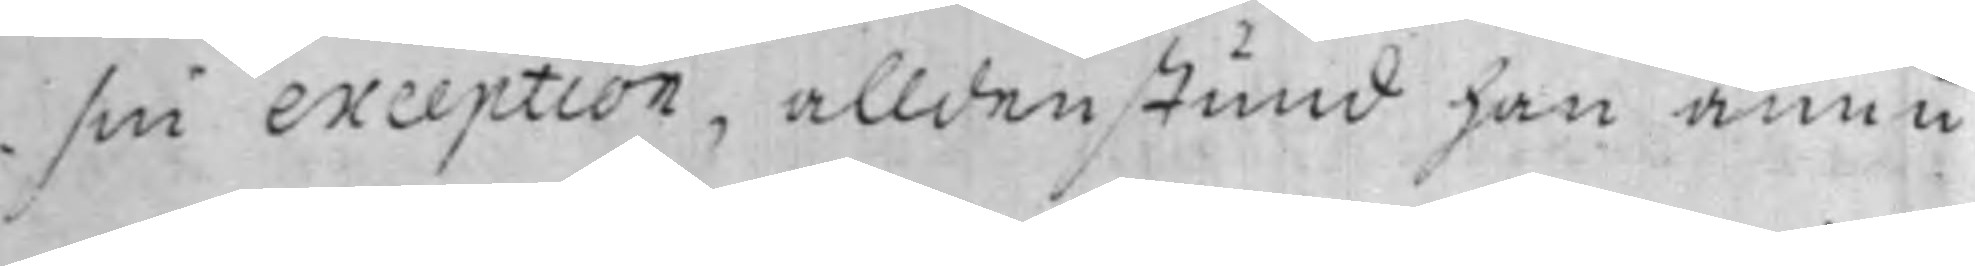sin exception, alldenstund han ännu
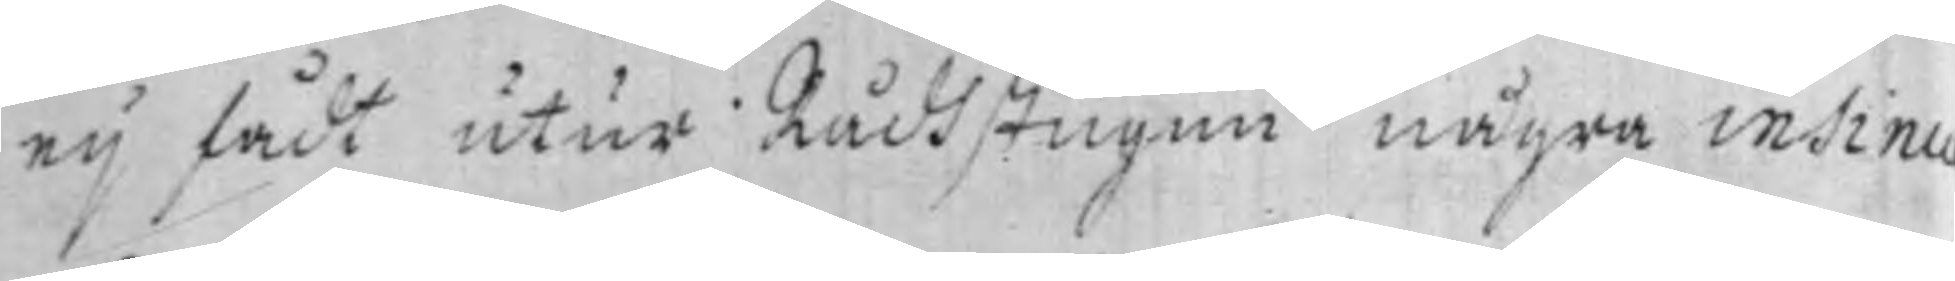ey fådt utur Rådhstugun några insinu¬
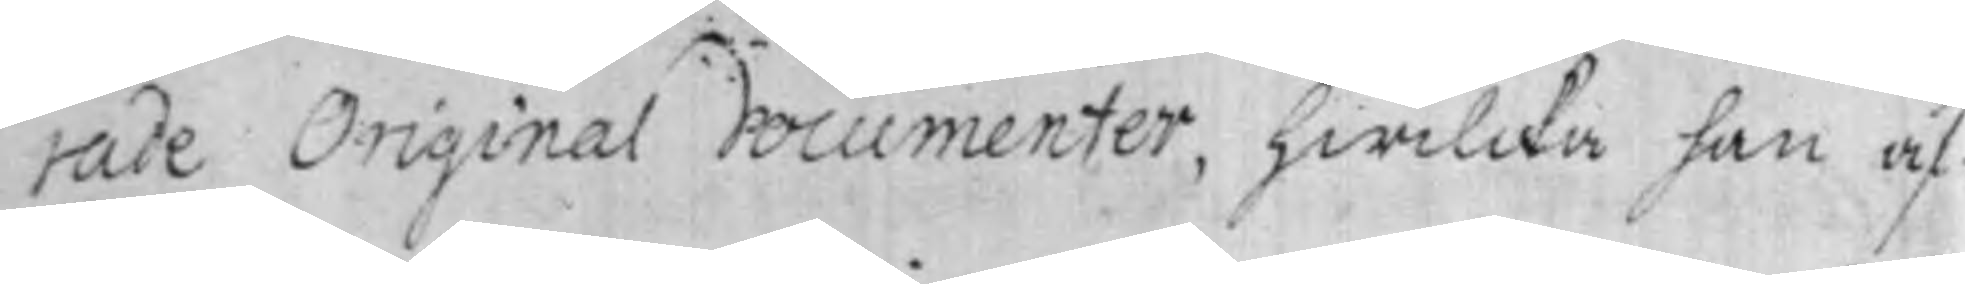rade Original documenter, hwilcka han äf¬
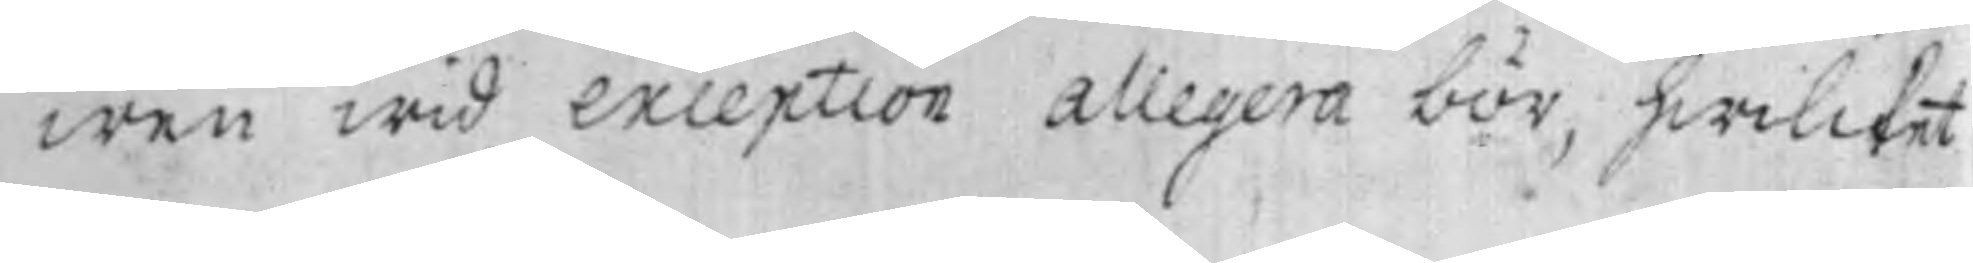wen wid exception allegera bör, hwilcket-
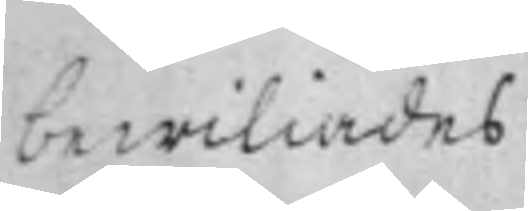bewiliades.
